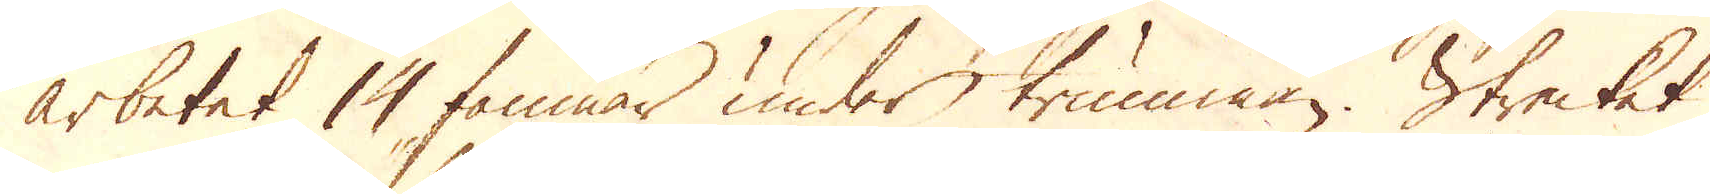arbetet 14 famnar under trumman. Strecket
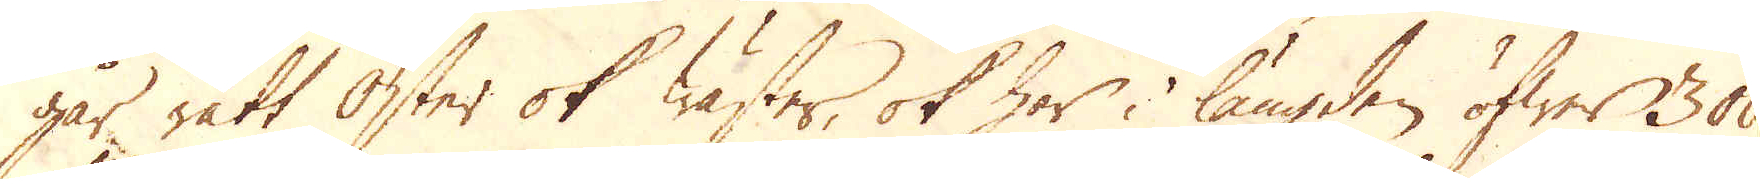går rätt Öster ok Wäster, ok har i längden öfwer 300
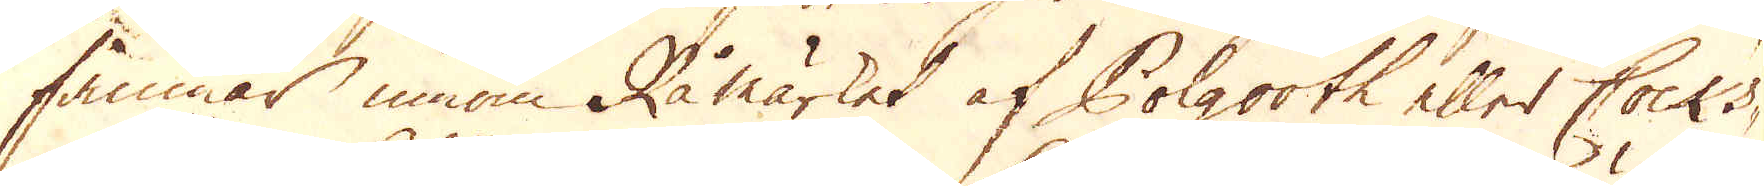famnar innom Råmärket af Polgooth eller Cocks-
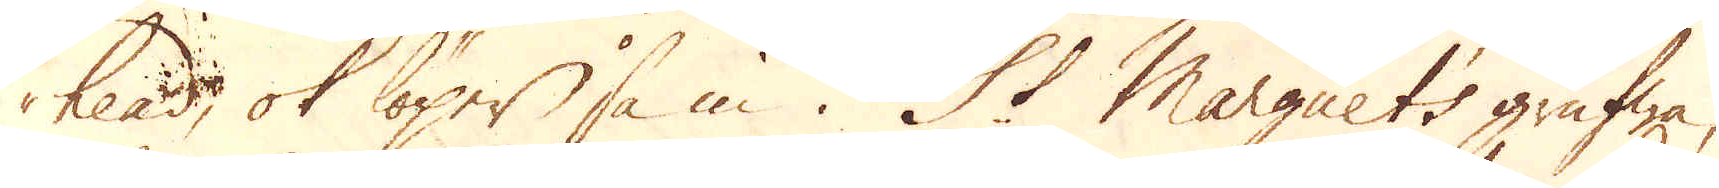head, ok löper så in i St Marguets grufwa,
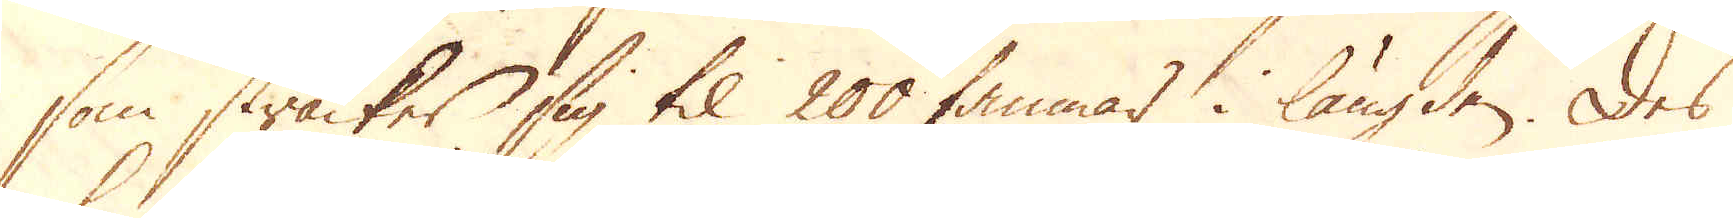som sträcker sig til 200 famnar i längden. Des
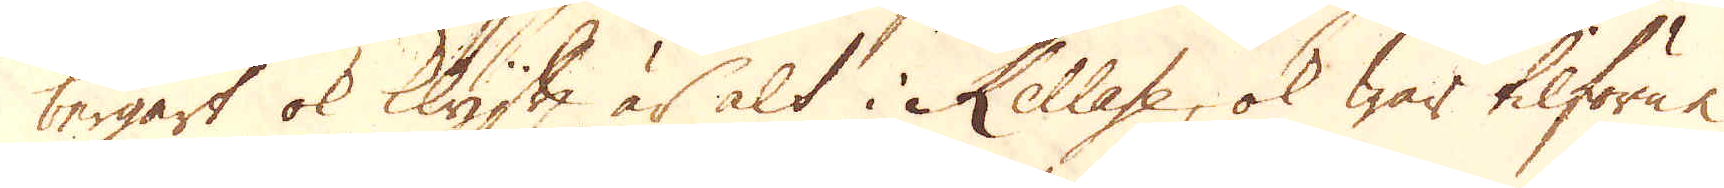bergart ok klyfta är alt i Kellase, ok war tilförne
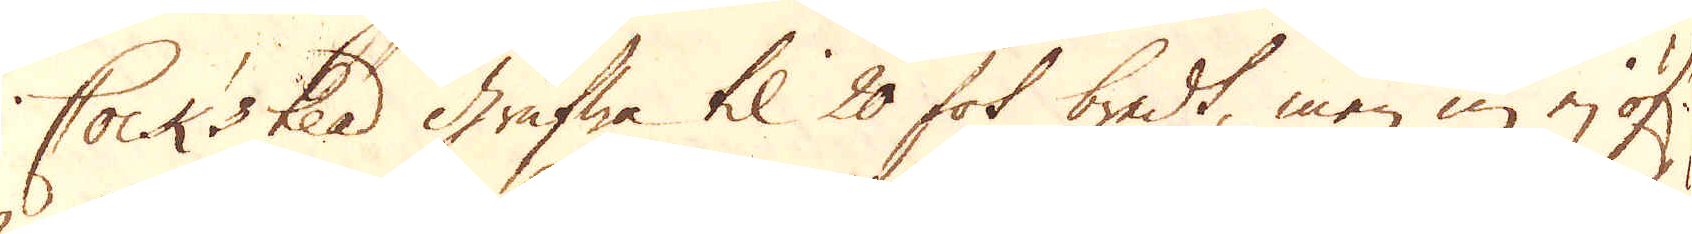Cockstead Grufwa til 20 fot bredt, men nu ej öf:r
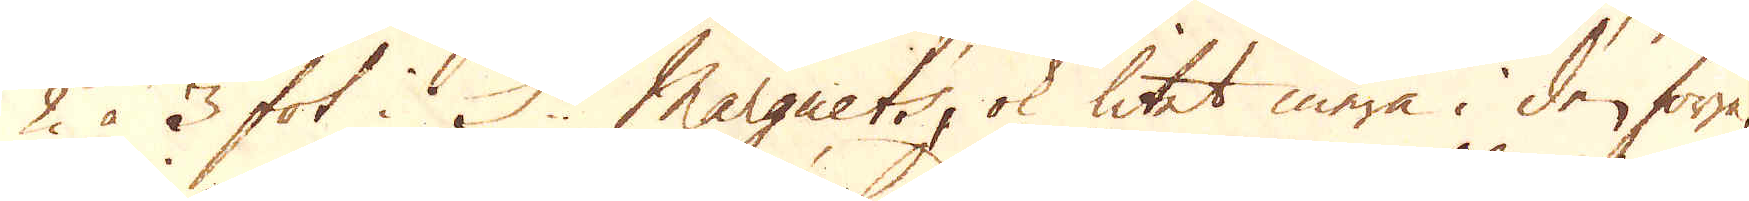2 à 3 fot i St Marguet, ok litet mera i den förra,
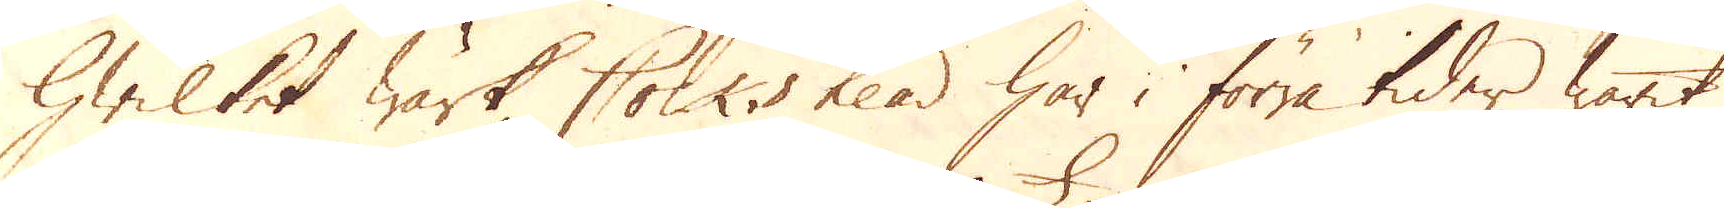hwilket wärk Cocks head har i förra tider warit
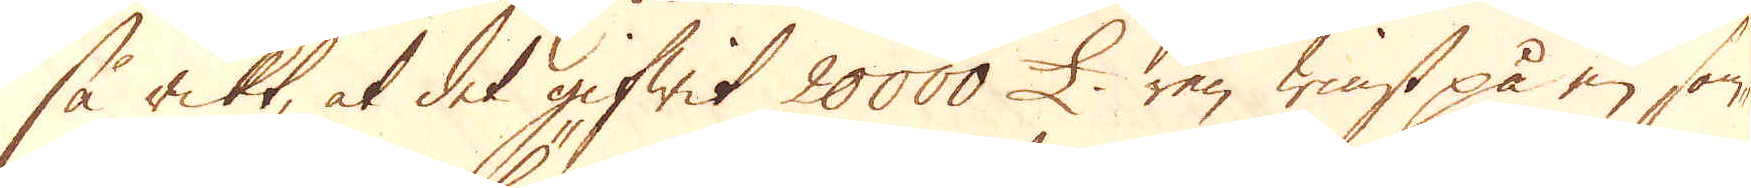så rikt, at det gifwit 20000 £ ren winst på en som-
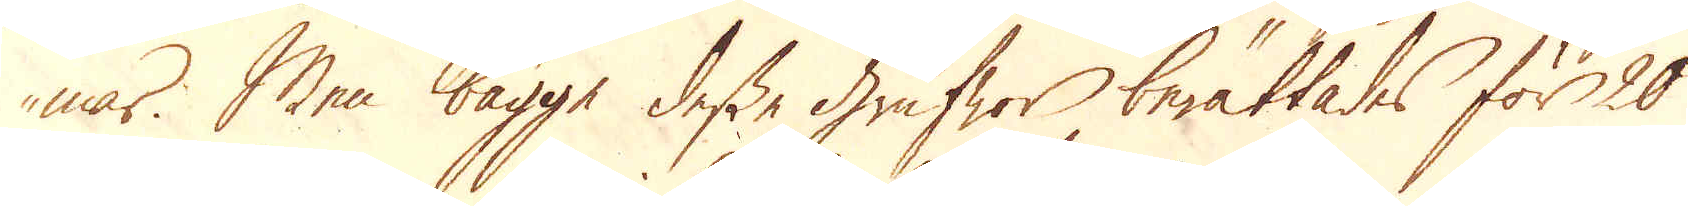mar. Men bägge desse Grufwor berättades för 20
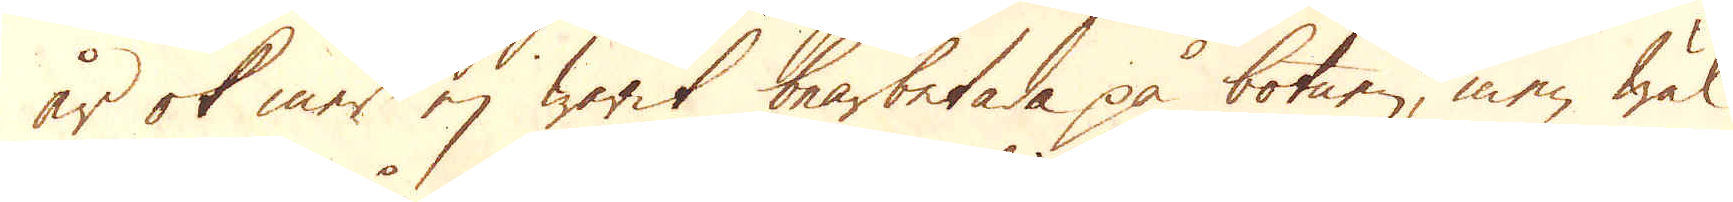år ok mer ej warit bearbetade på botnen, men wäl
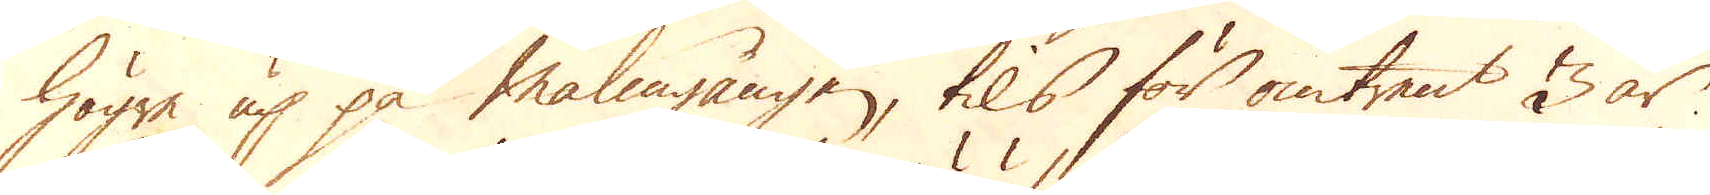högre up på Malmgången, tils för omtrent 3 år
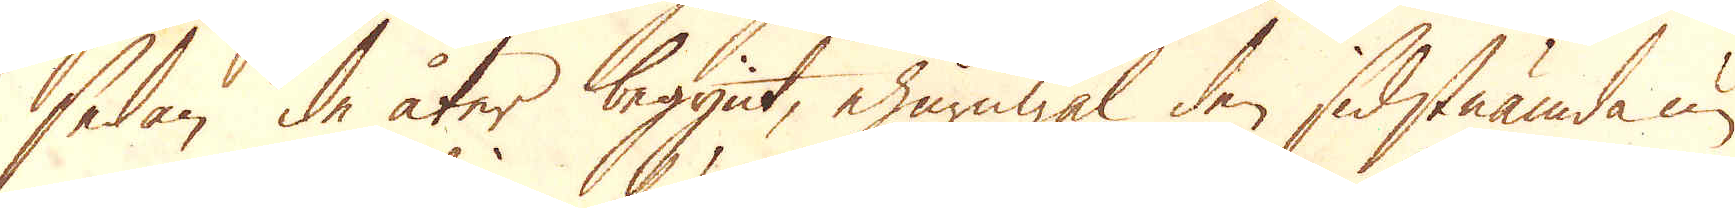sedan de åter begynt, ehuruwäl den sidstnämda nu
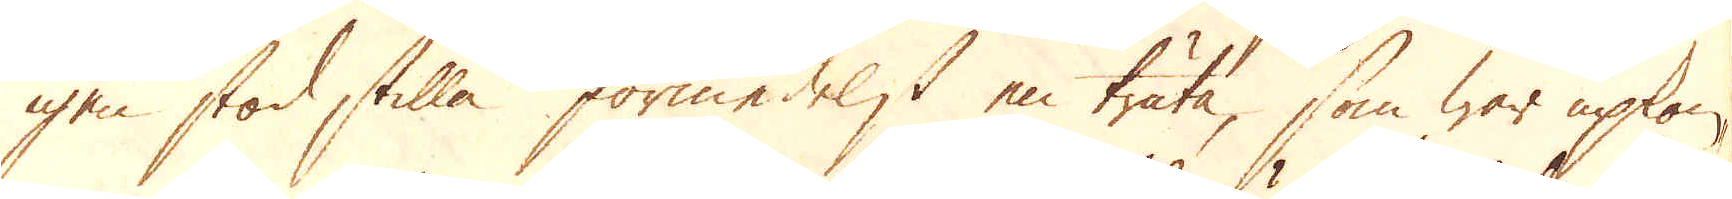igen stod stilla förmedelst en träta, som war upkom-
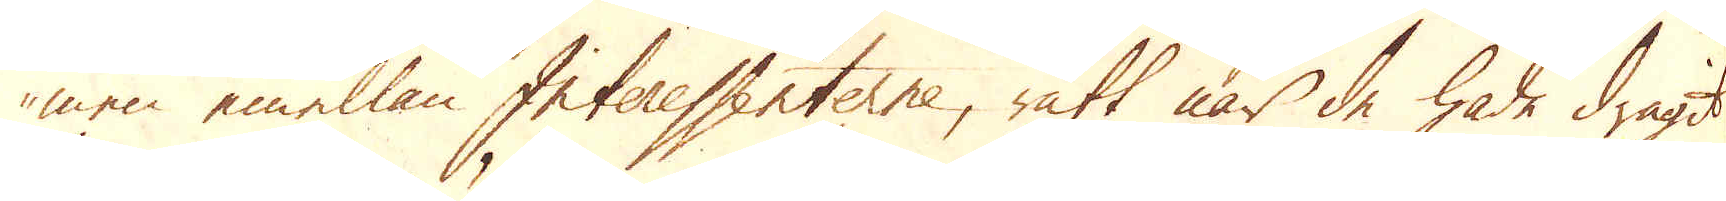men emellan Interessenterne, rätt när de hade dragit
